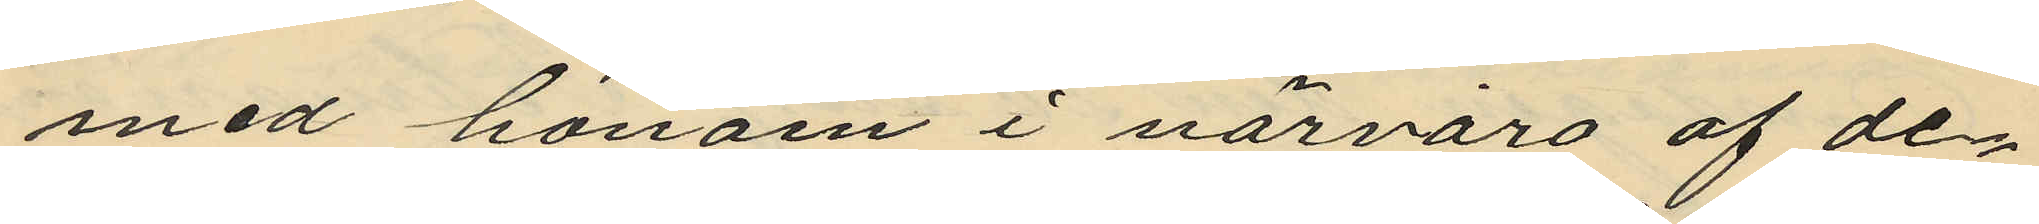med honom i närvaro af de¬
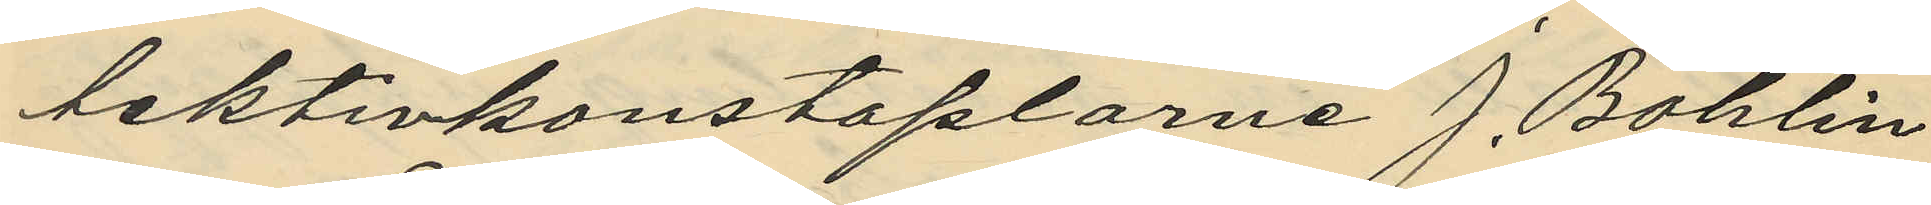tektivkonstaplarne J. Bohlin
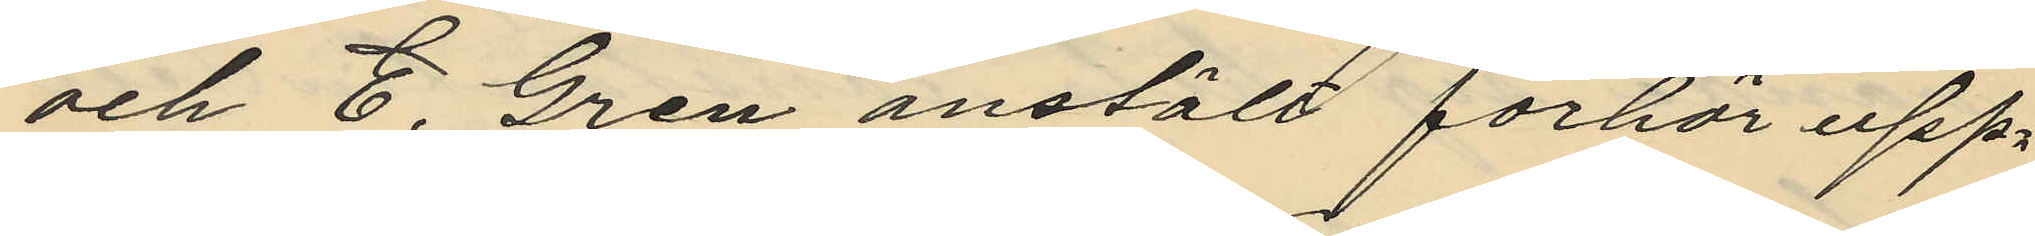och E. Gren anstält förhör upp¬
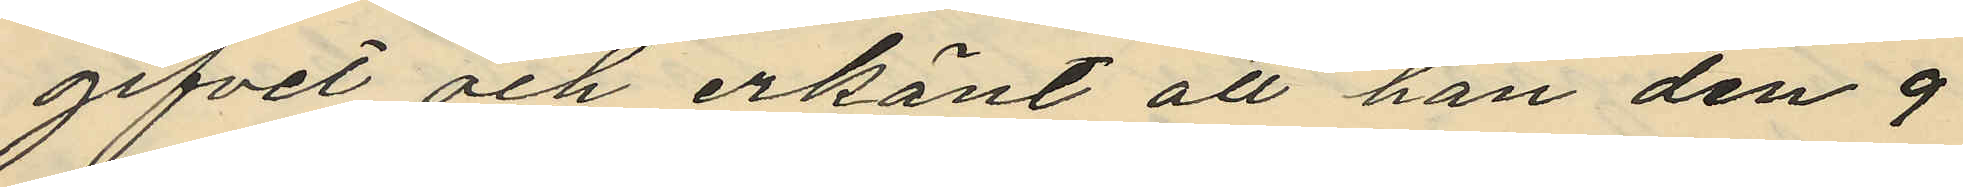gifvet och erkänt att han den 9
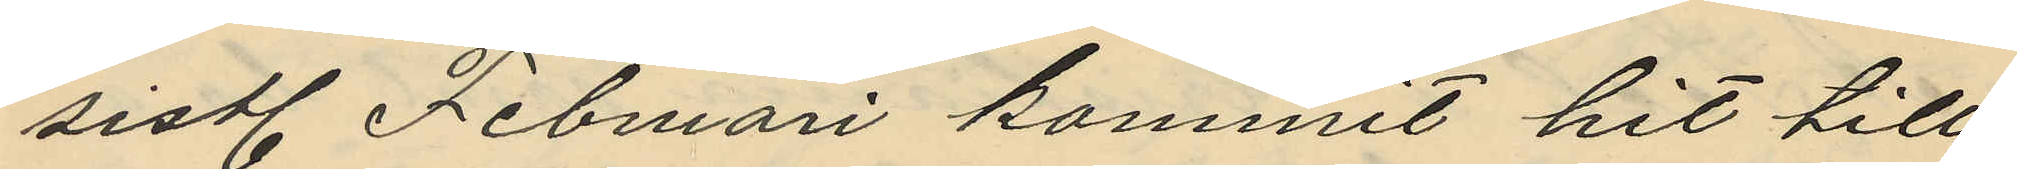sistl. Februari kommit hit till
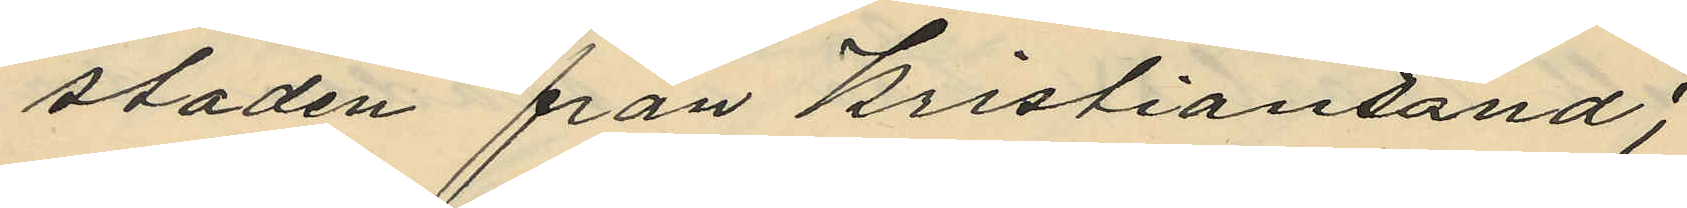staden från Kristiansand;
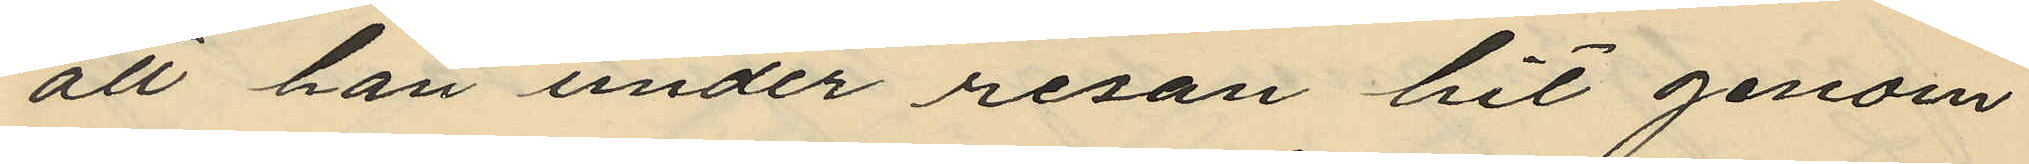att han under resan hit genom
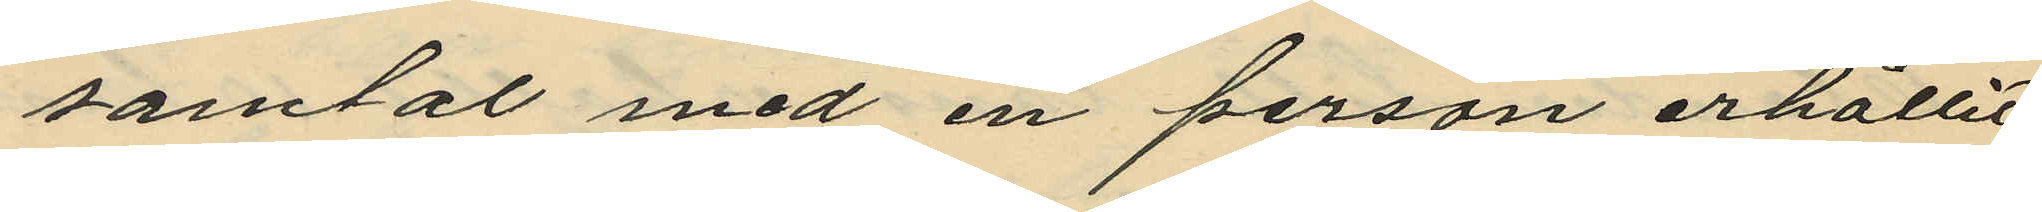samtal med en person erhållit
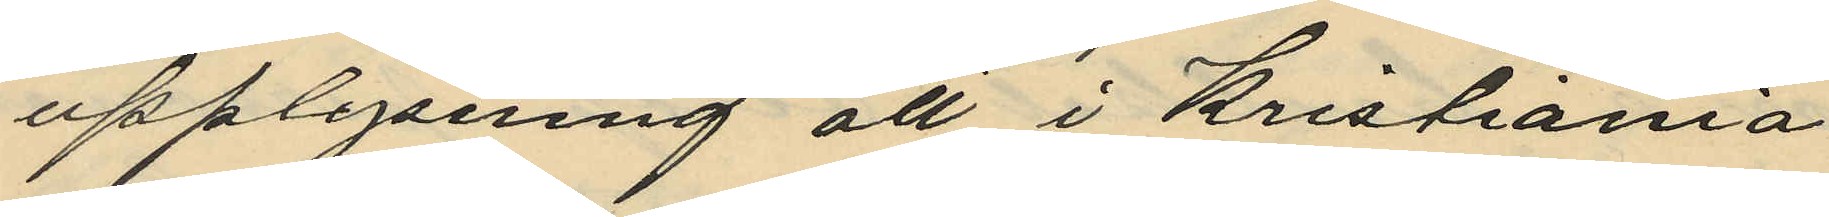upplysning att i Kristiania
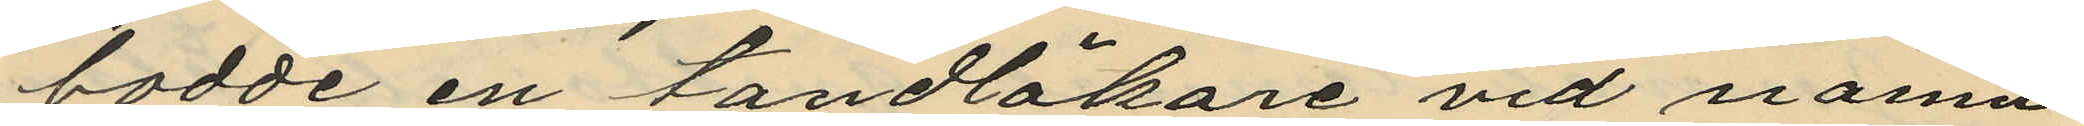bodde en tandläkare vid namn
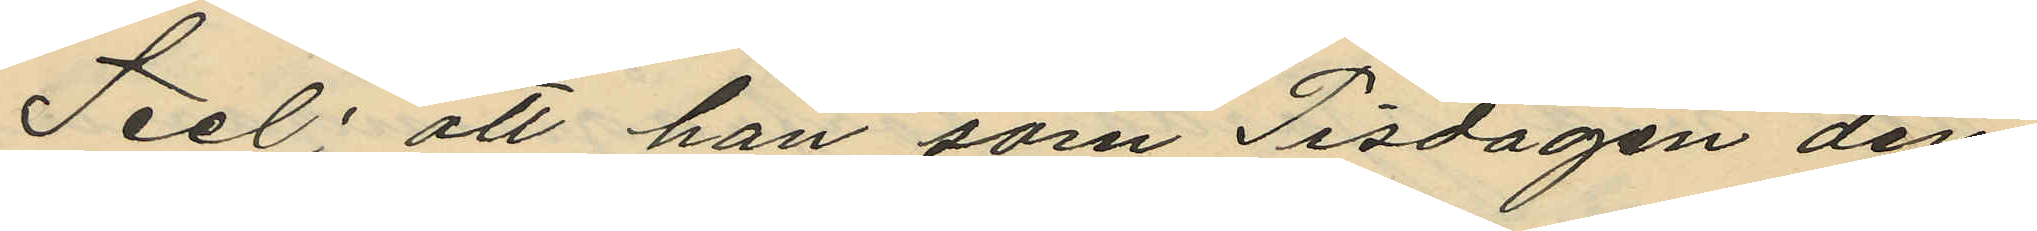Seel; att han som Tisdagen den
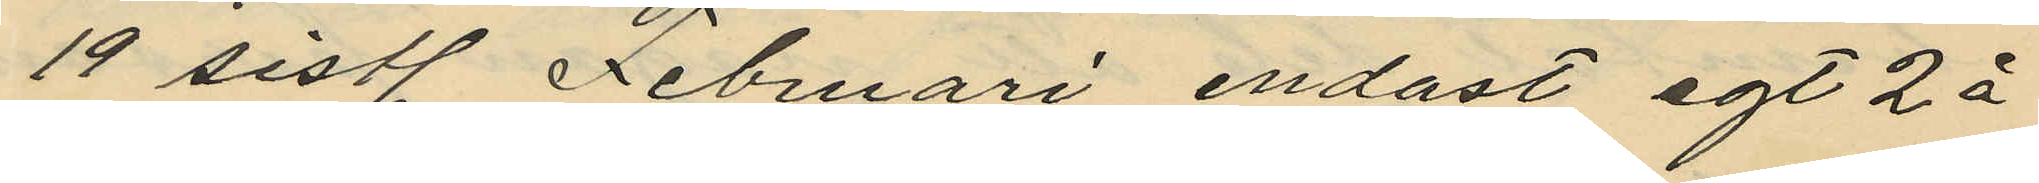19 sistl. Februari endast egt 2 
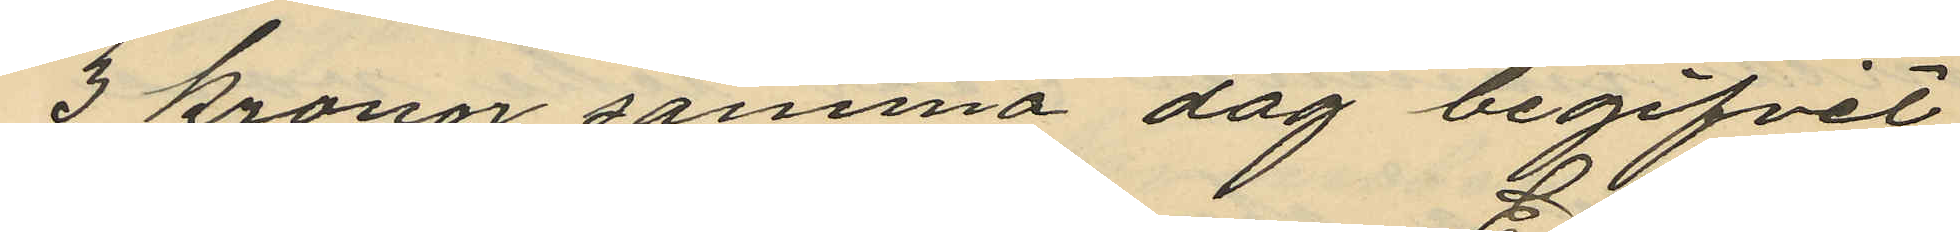3 kronor samma dag begifvit
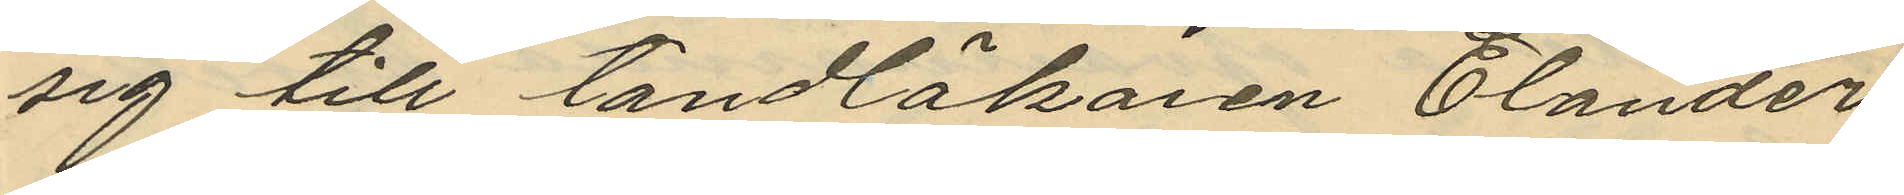sig till tandläkaren Elander
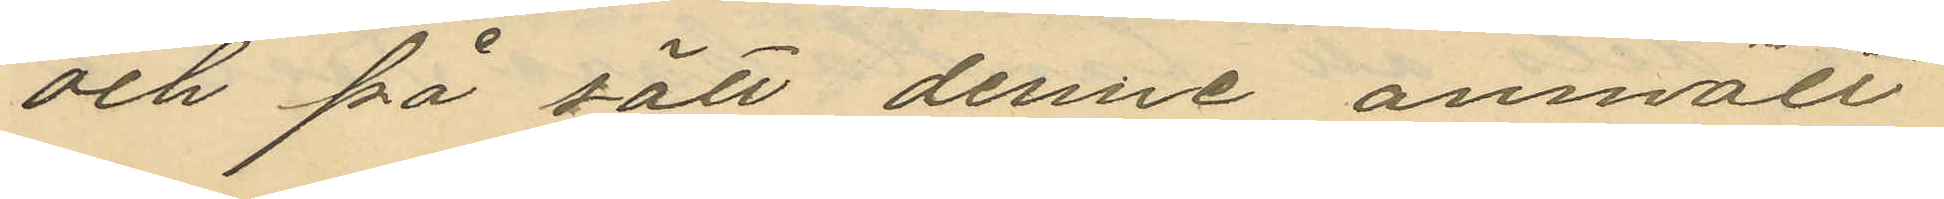och på sätt denne anmält
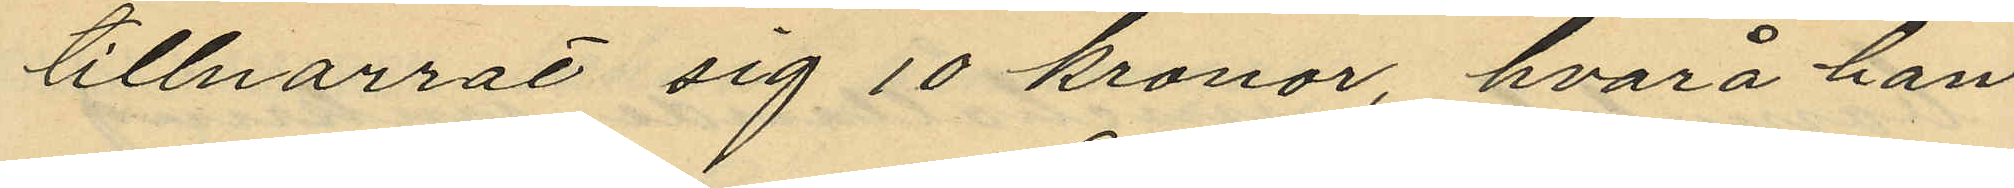tillnarrat sig 10 kronor, hvarå han
